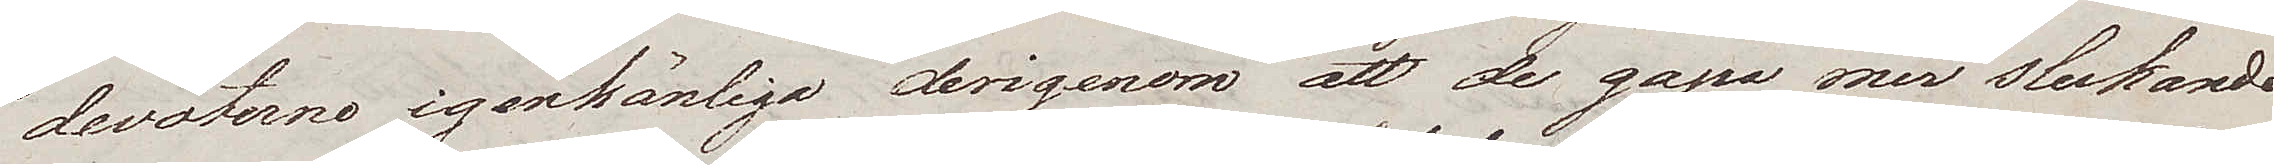devoterne igenkänliga derigenom att de gapa mer slukande
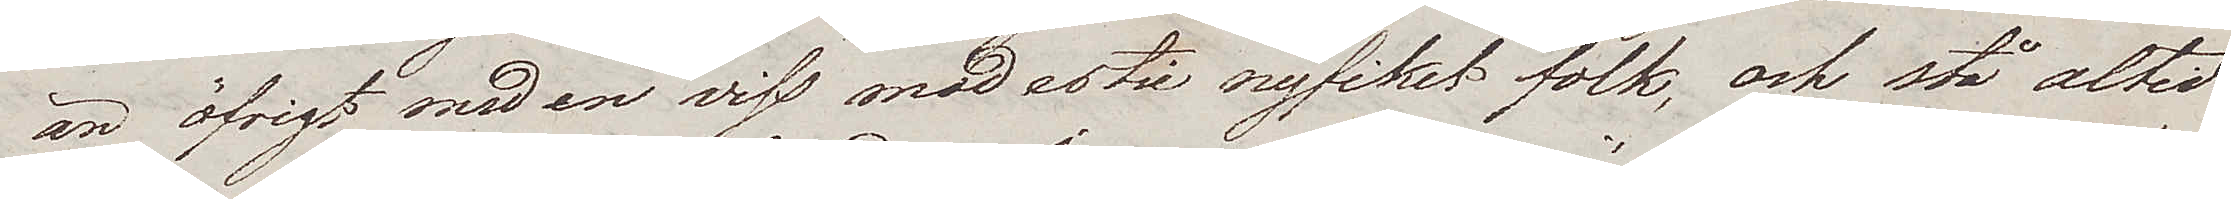än öfrigt med en viss modestie nyfiket folk, och stå altid
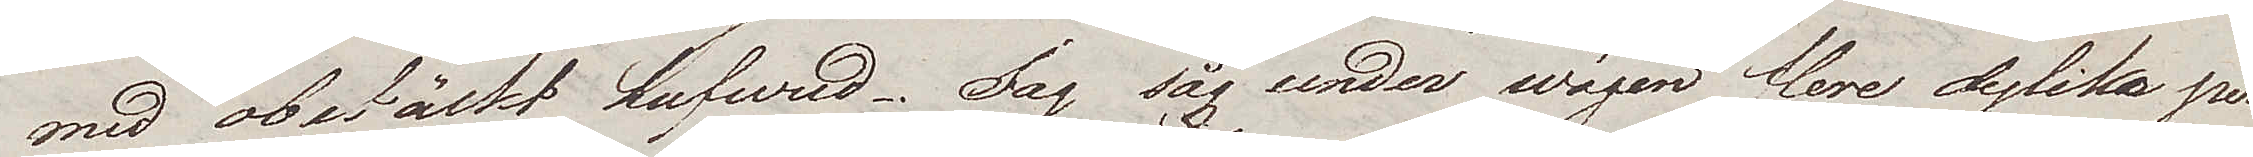med obetäckt hufwud. Jag såg under wägen flere dylika per¬
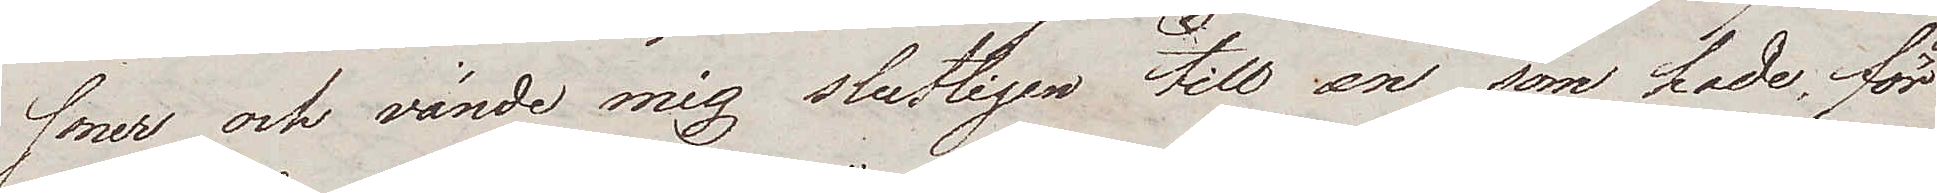soner och vände mig slutligen till en som hade, för
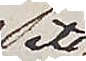att
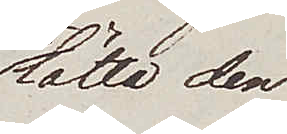lätta den
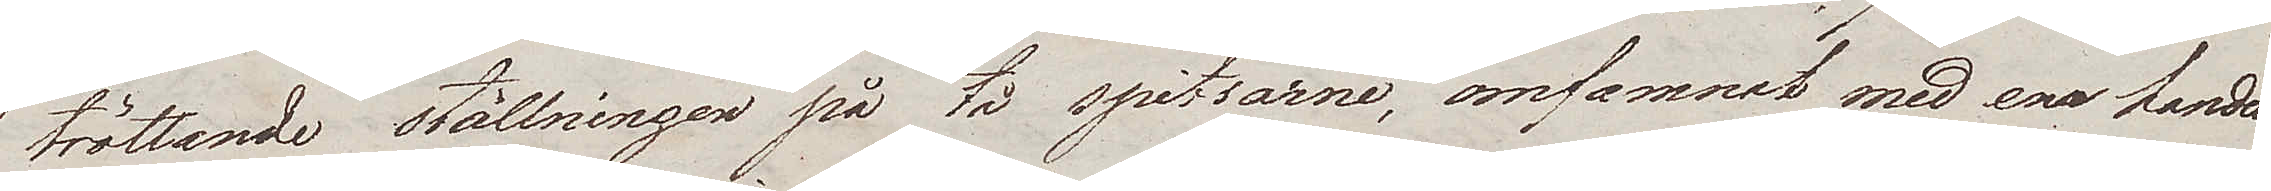tröttande ställningen på tå spitsarne, omfamnat med ena handen
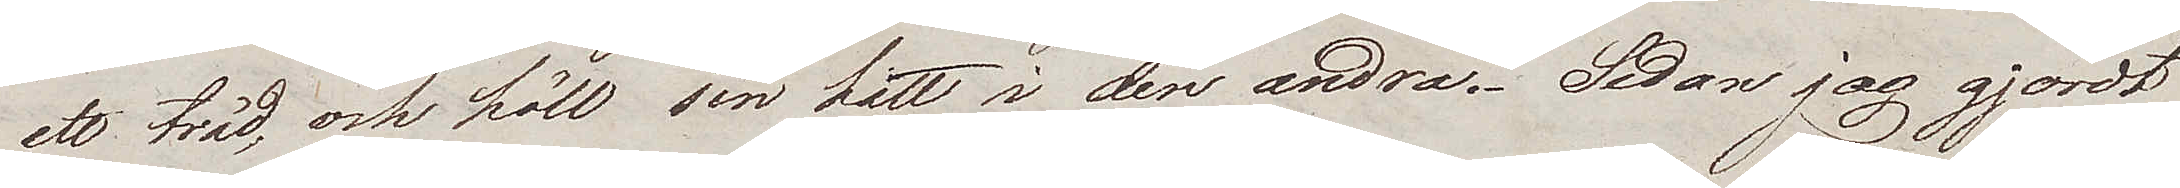ett träd, och höll sin hatt i den andra. Sedan jag gjordt
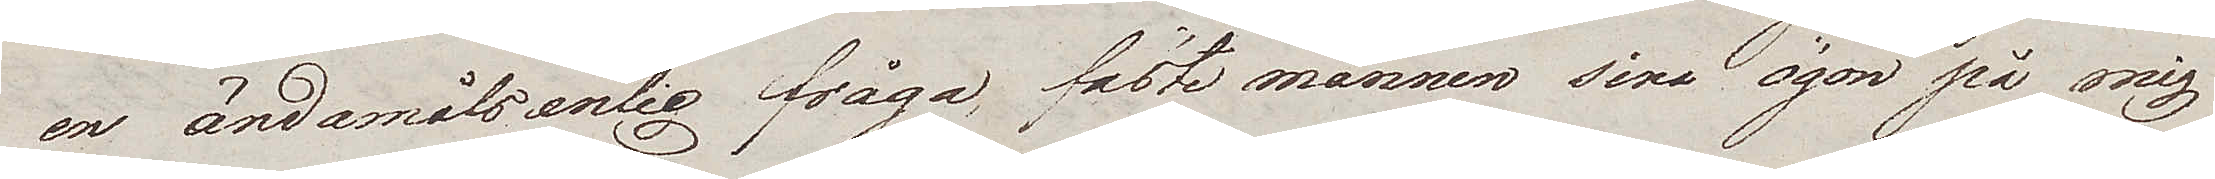en ändamålsenlig fråga, fäste mannen sina ögon på mig
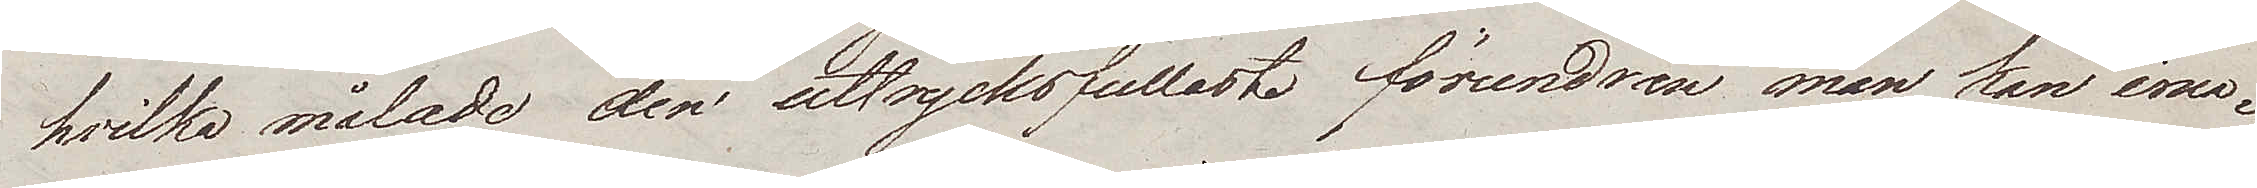hvilka målade den uttrycksfullaste förundran man kan ima¬
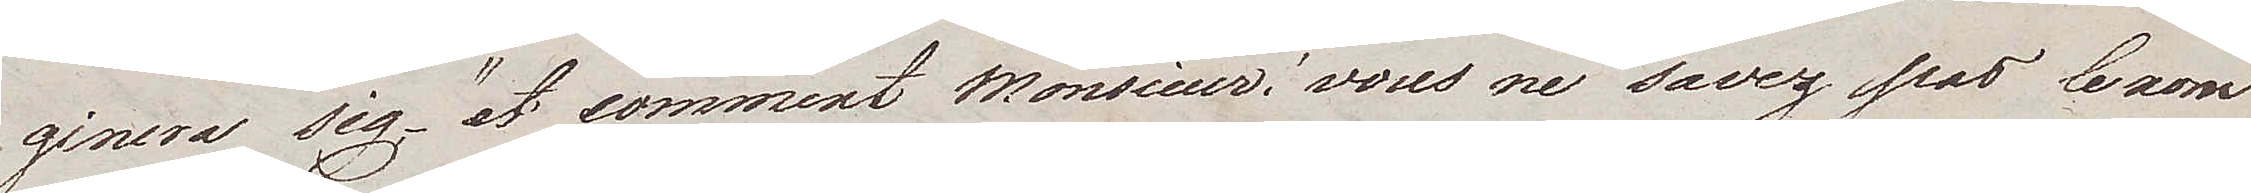ginera sig, – "et comment Monsieur, vous ne savez pas le nom
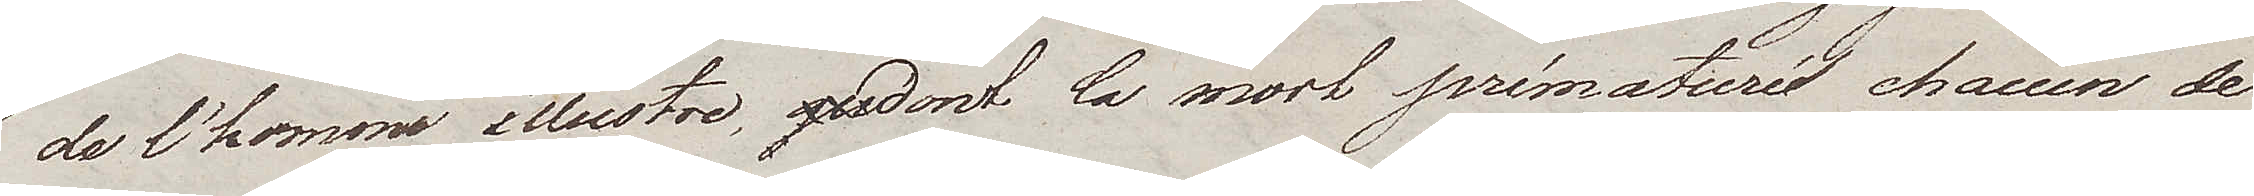de l'homme illustre, dont la mort prématuré chacun de
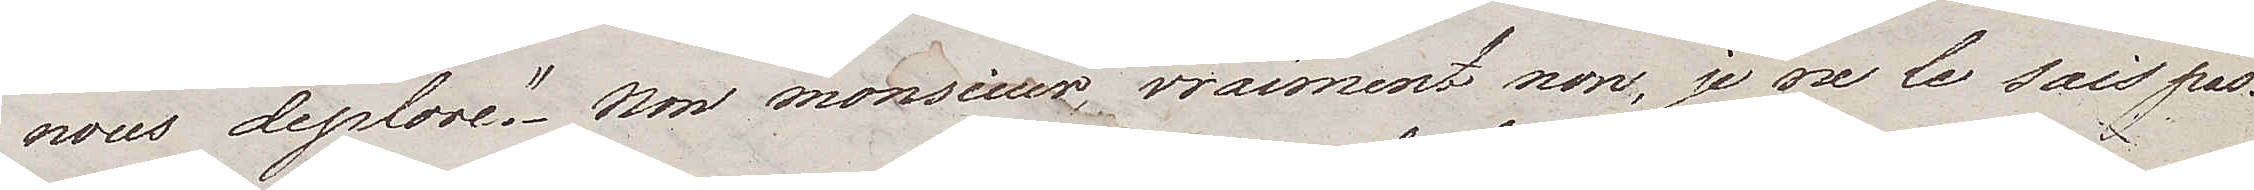nous deplore." Non monsieur, vraiment non, je ne le sais pas
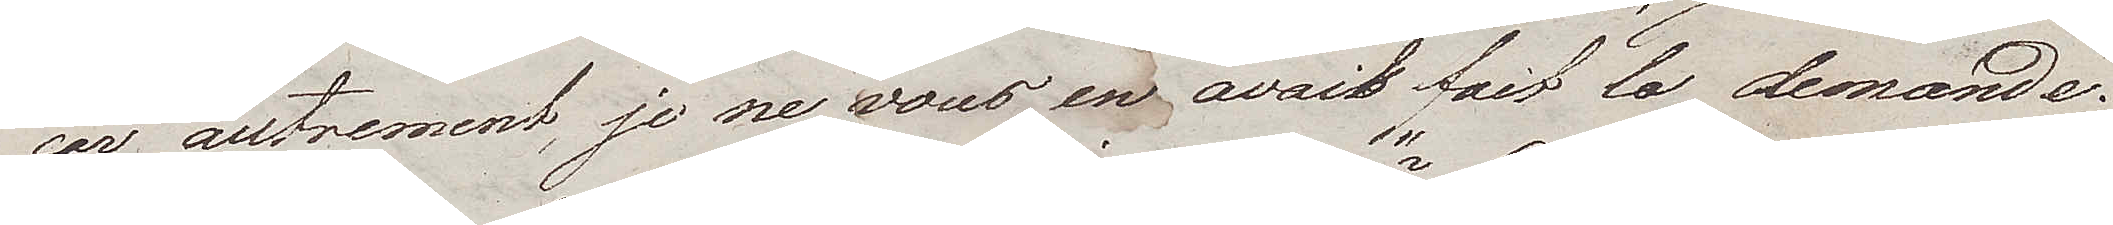car autrement, je ne vous en avait fait  la demande.
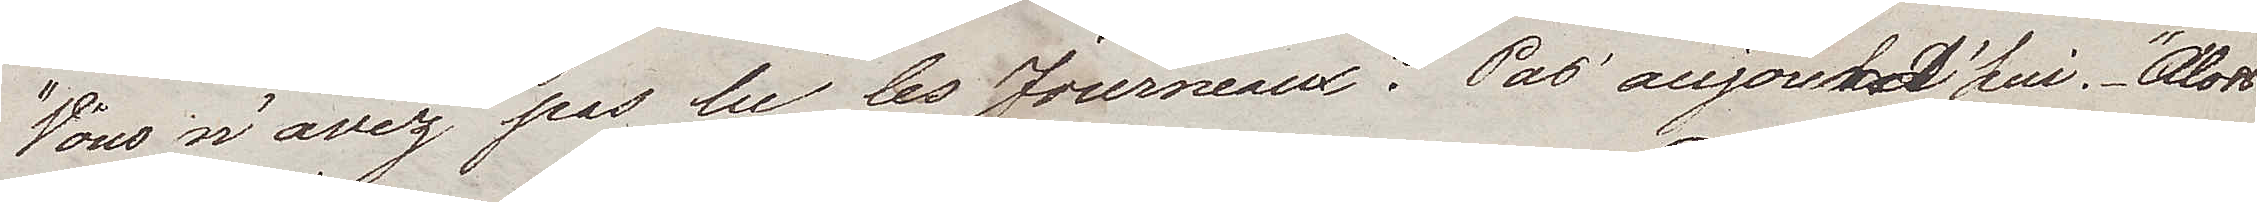"Vous n'avez pas lu les Journeaux?" Pas auhourd'hui. – "Alors,
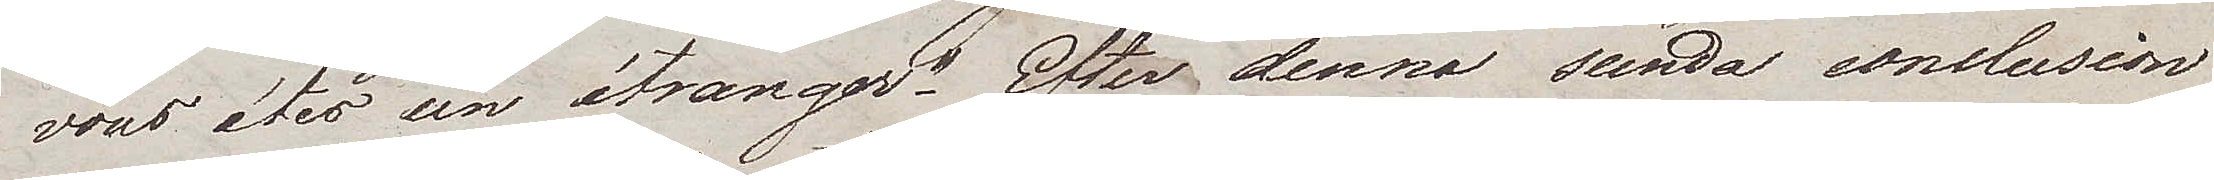vous étes un étranger." Efter denna sunda conclusion
